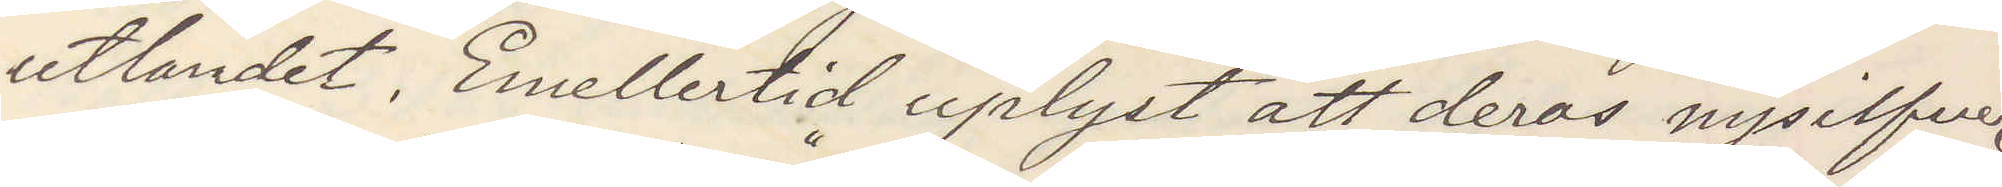utlandet. Emellertid upplyst att deras nysilfver
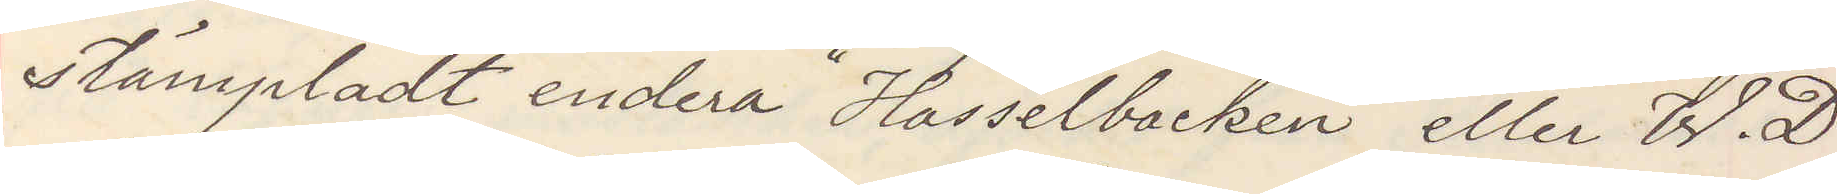stämpladt endera "Hasselbacken" eller W. D.
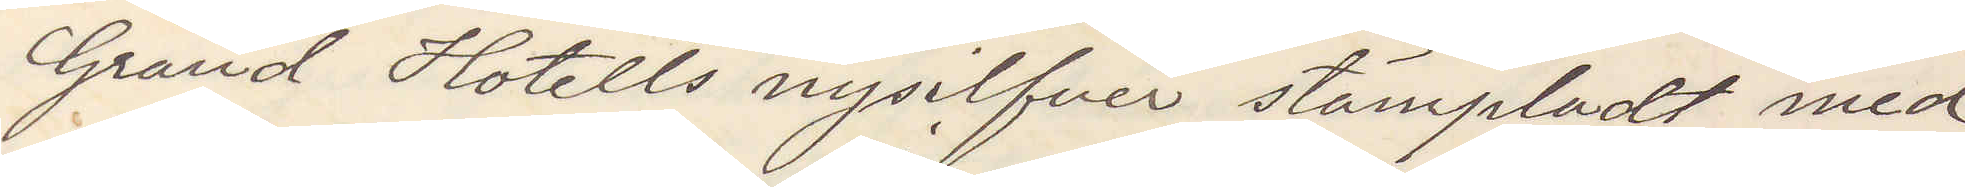Grand Hotells nysilfver stämpladt med
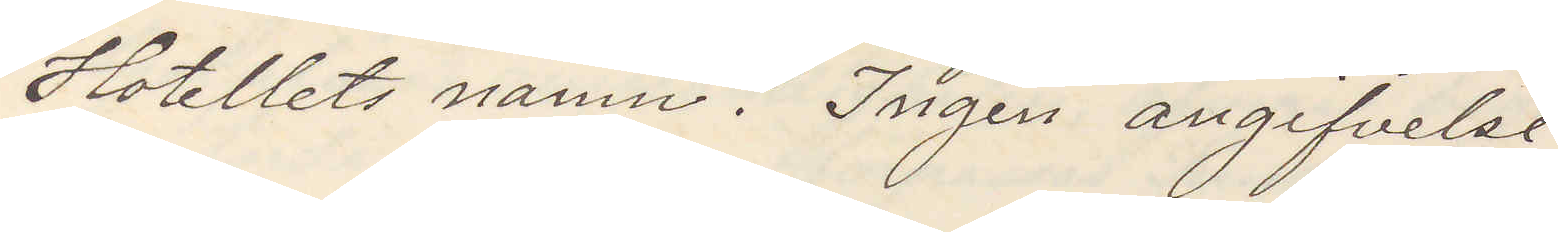Hotellets namn. Ingen angifvelse.
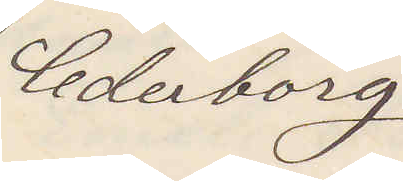Cederborg
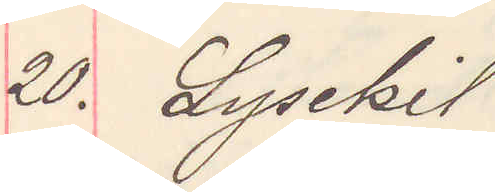20. Lysekil
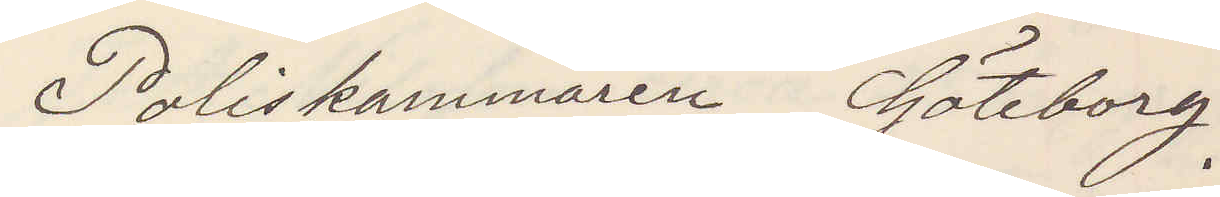Poliskammaren Göteborg
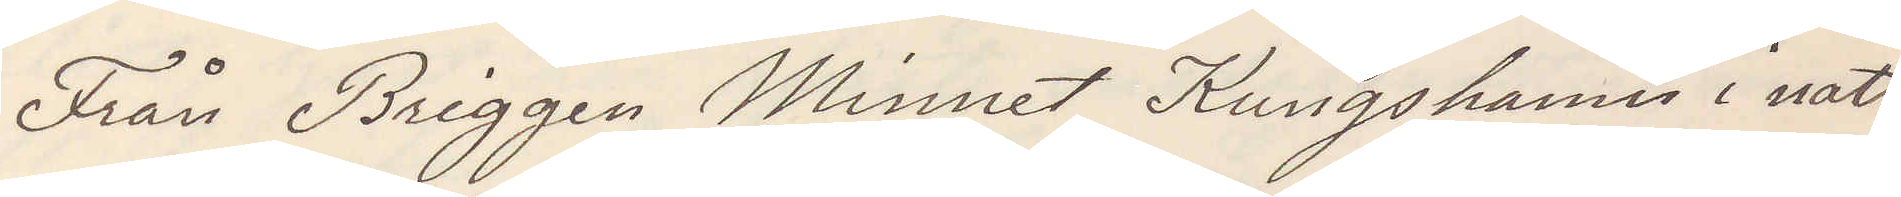från Briggen Minnet Kungshamn i natt
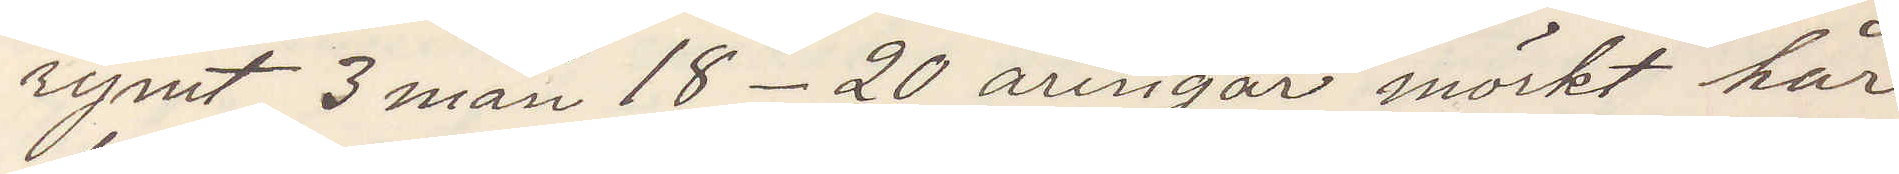rymt 3 man 18-20 åringar mörkt hår
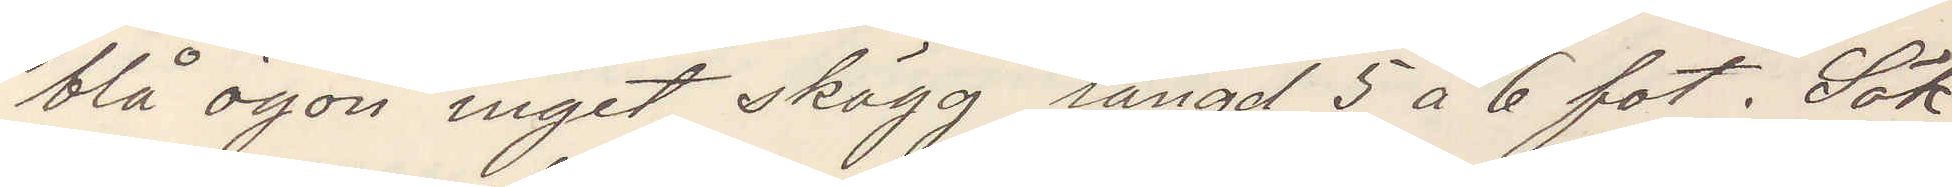blå ögon inget skägg längd 5 a 6 fot. Sök
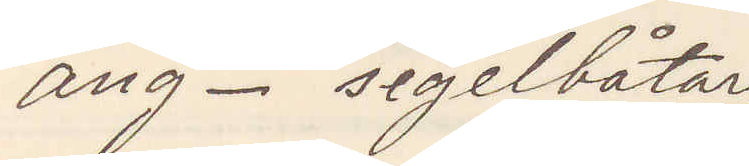ång- segelbåtar
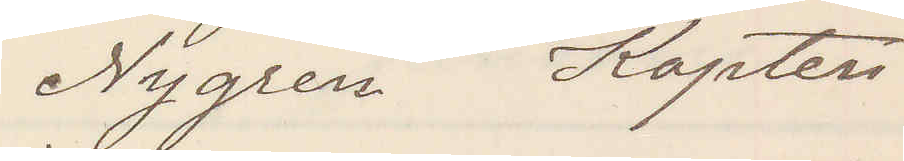Nygren Kapten
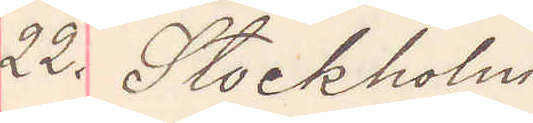22. Stockholm
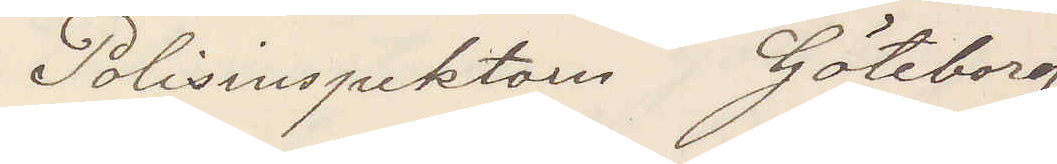Polisinspektorn Göteborg
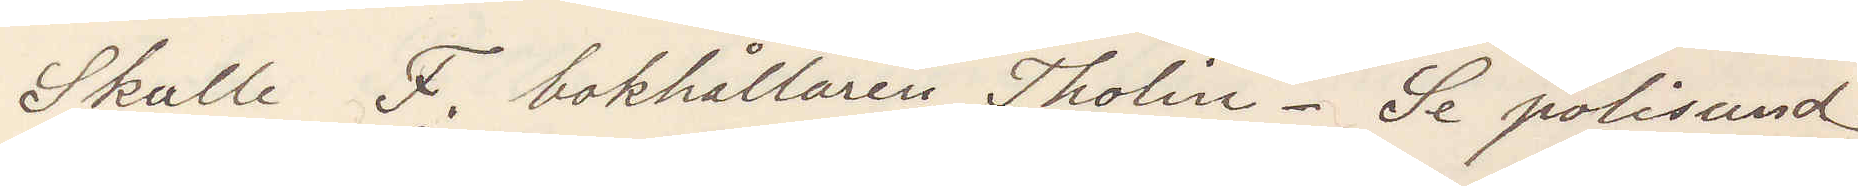Skulle F. bokhållaren Tholin. Se polisund.
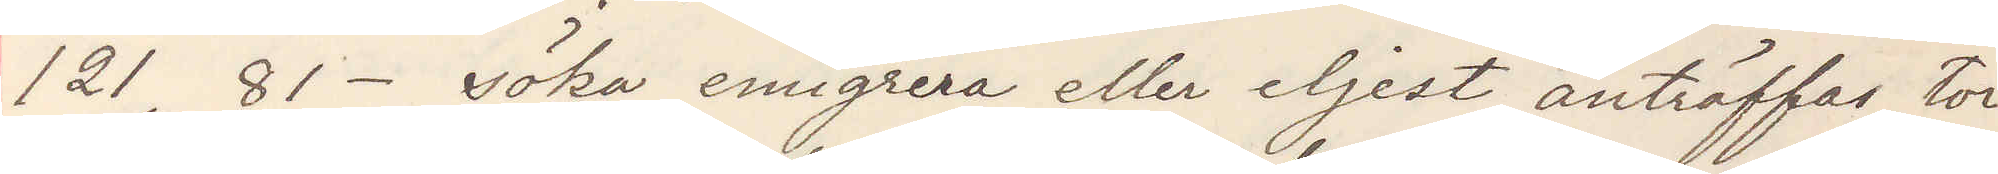121, 81-  söka emigrera eller eljest anträffas, tor¬
